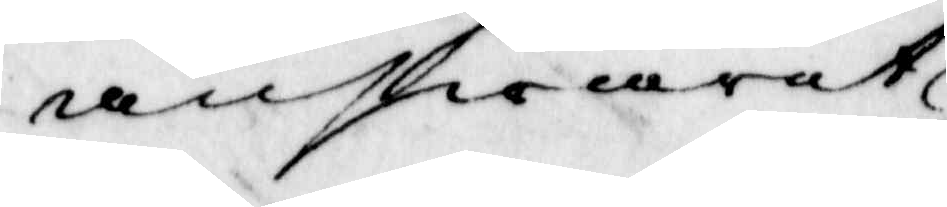answaret 
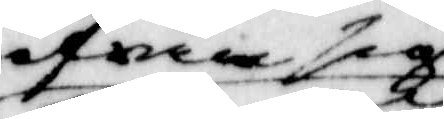ifrån sig
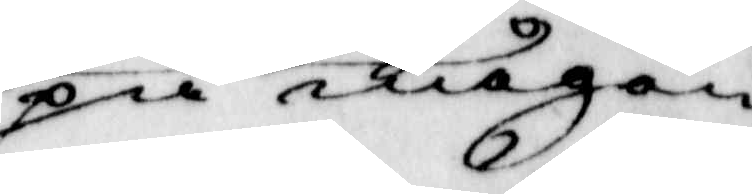på någon
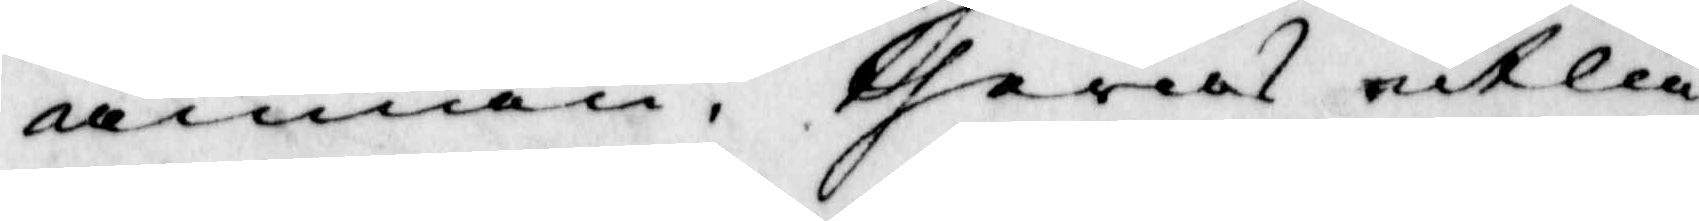annan, theras utlå¬
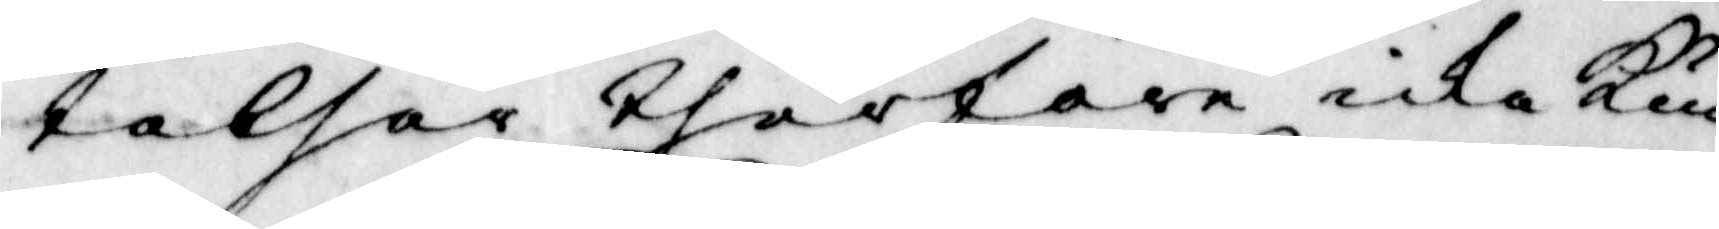telser therföre icke kun¬
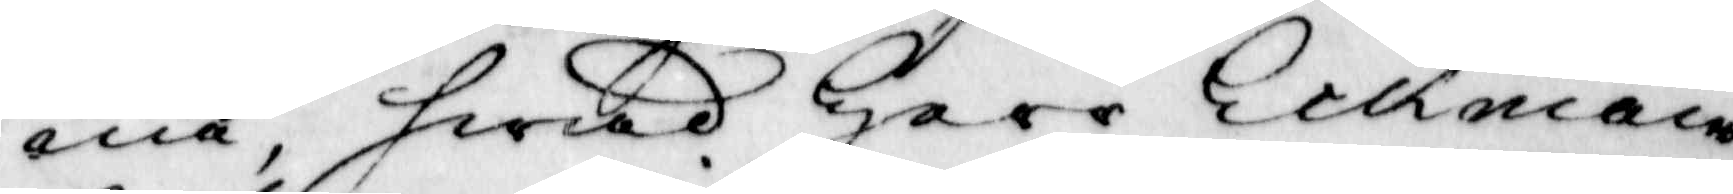na, hwad Herr Eckman
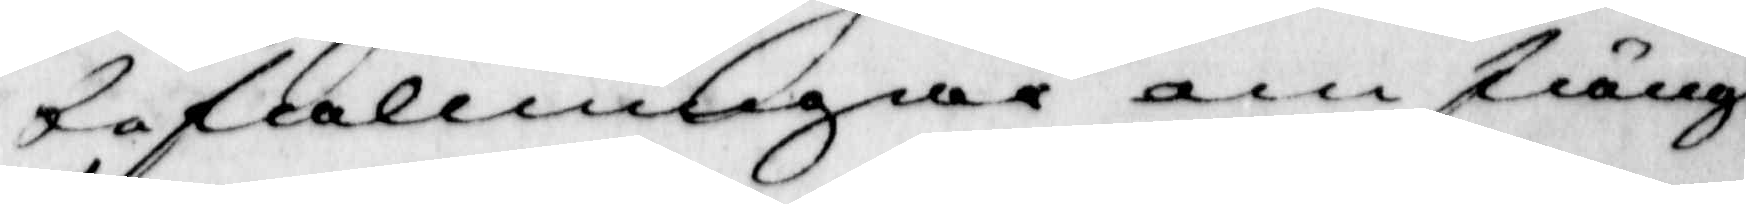befallningar om fäng¬
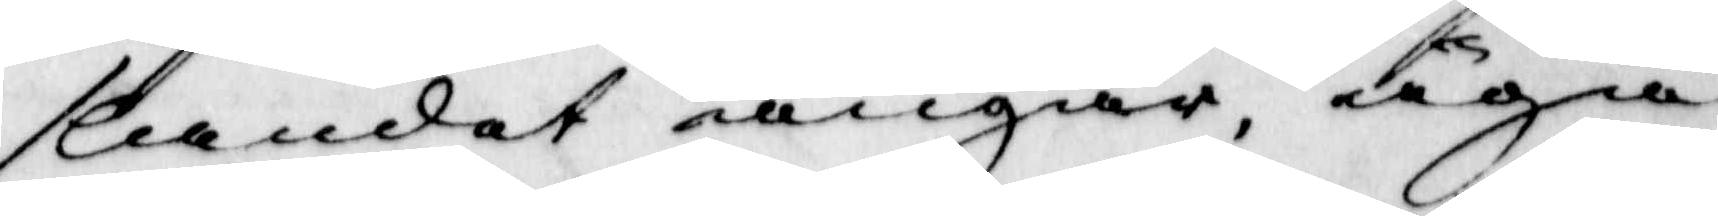slandet angår, äga
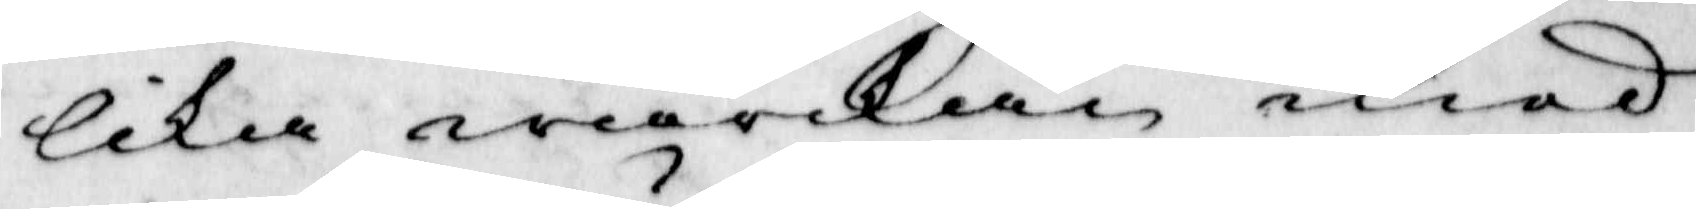lika wärkan med
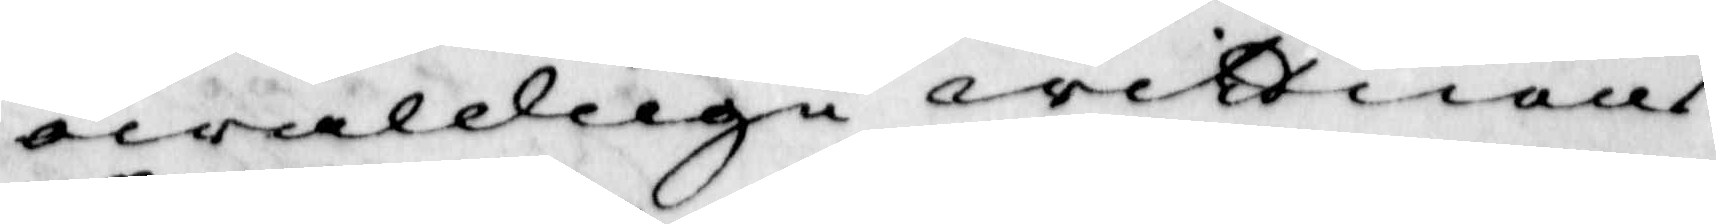owälduge wittnens
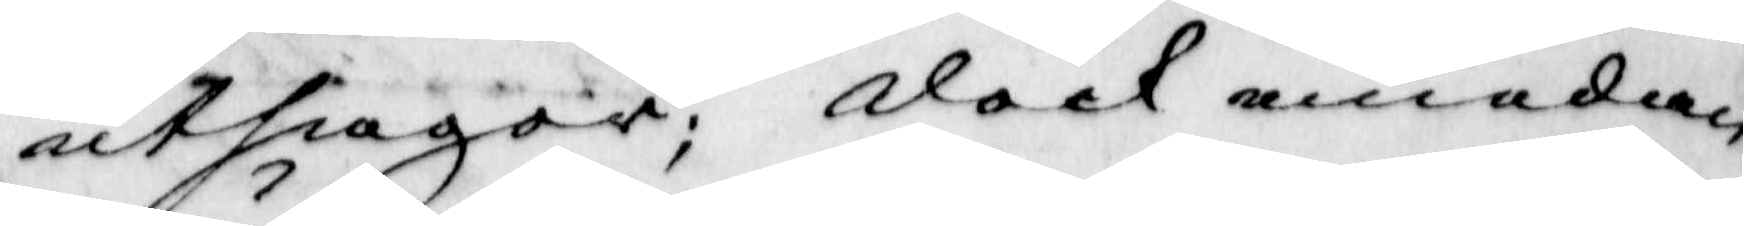utsagor; dock emedan
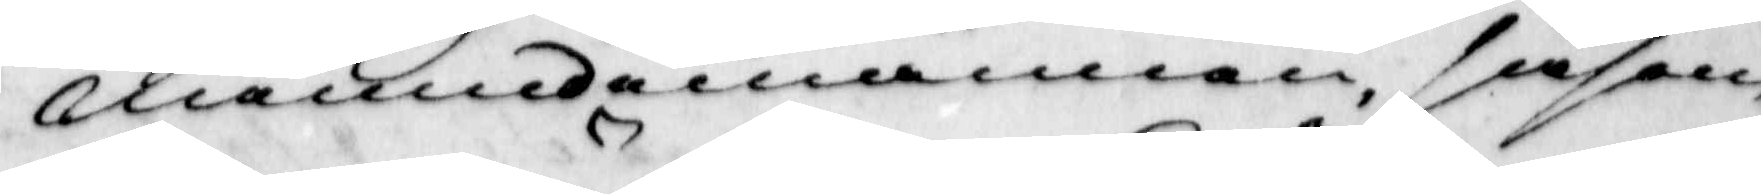nämndemännen såsom
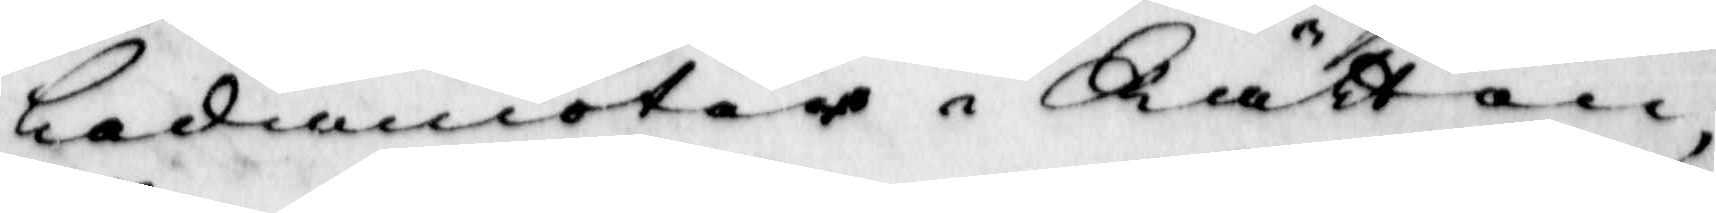ledamöter i Rätten,
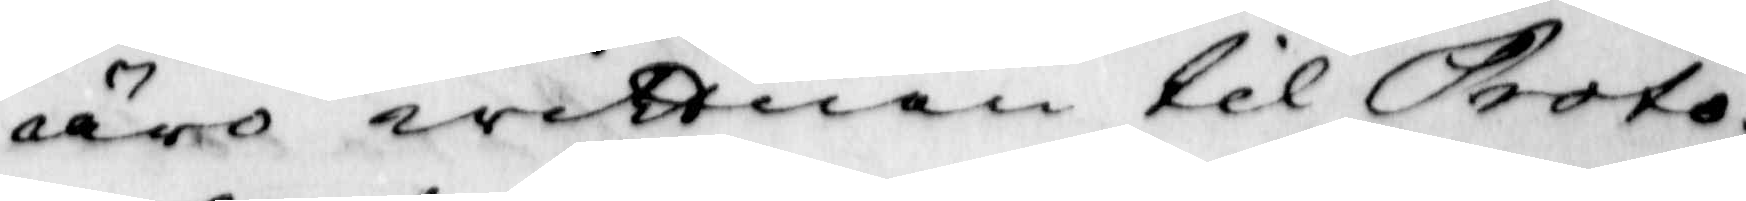äro wittnen til Proto¬
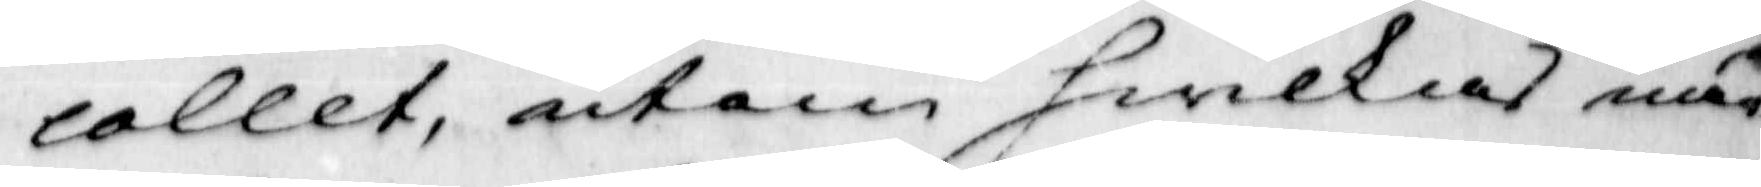collet, utan hwilkas när¬
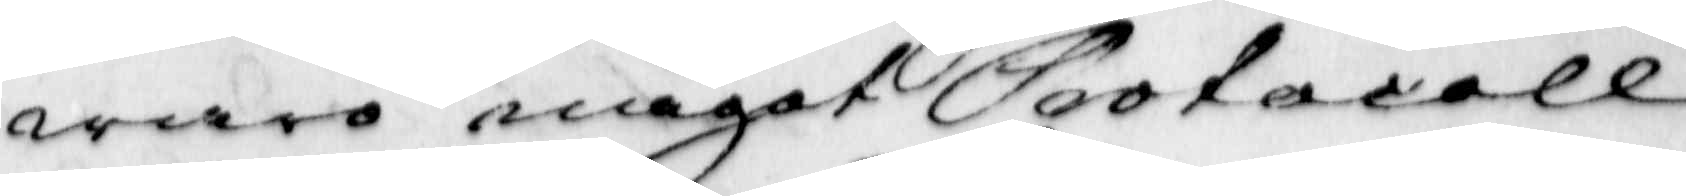waro något Protocoll
